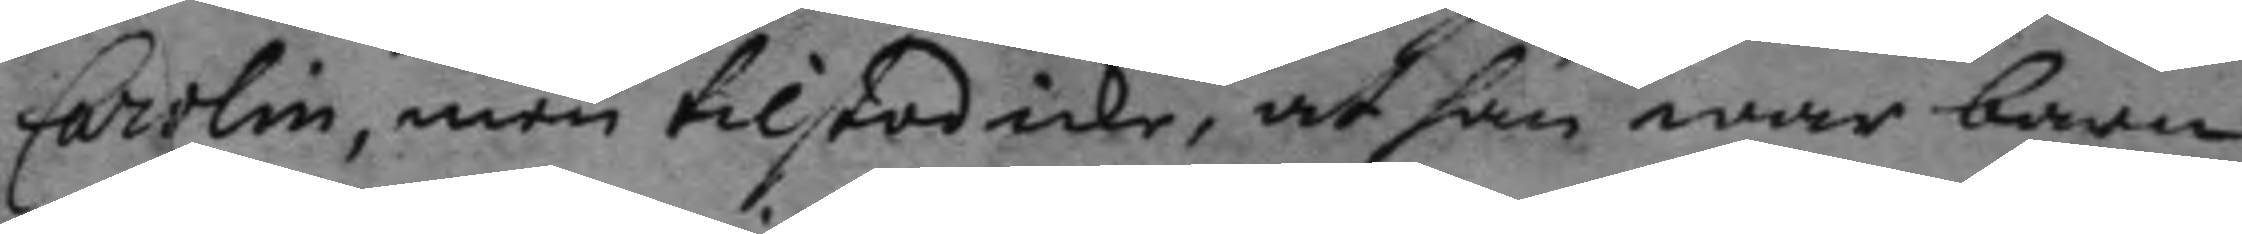Carolin, men tilstod icke, at han war barn¬
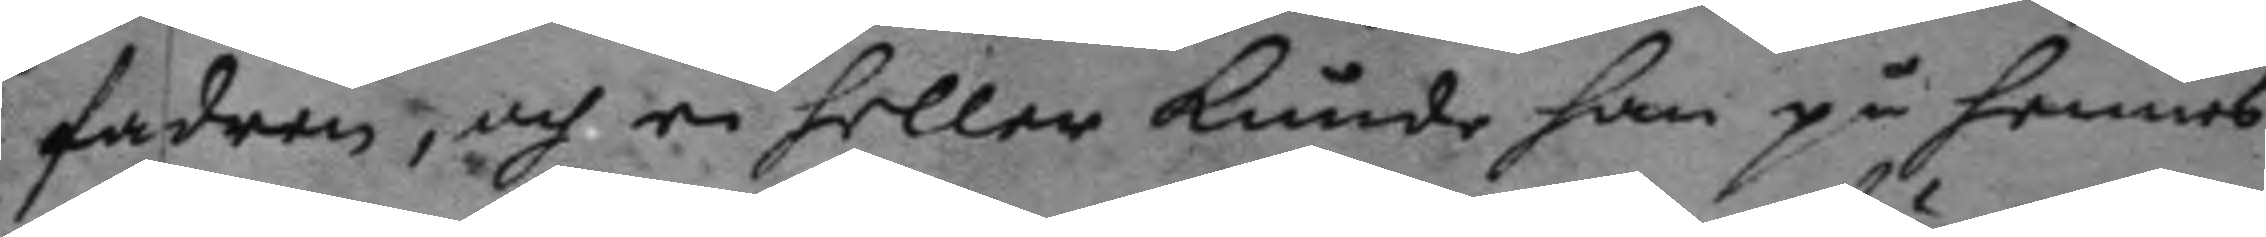fadren, och ei heller kunde han på hennes
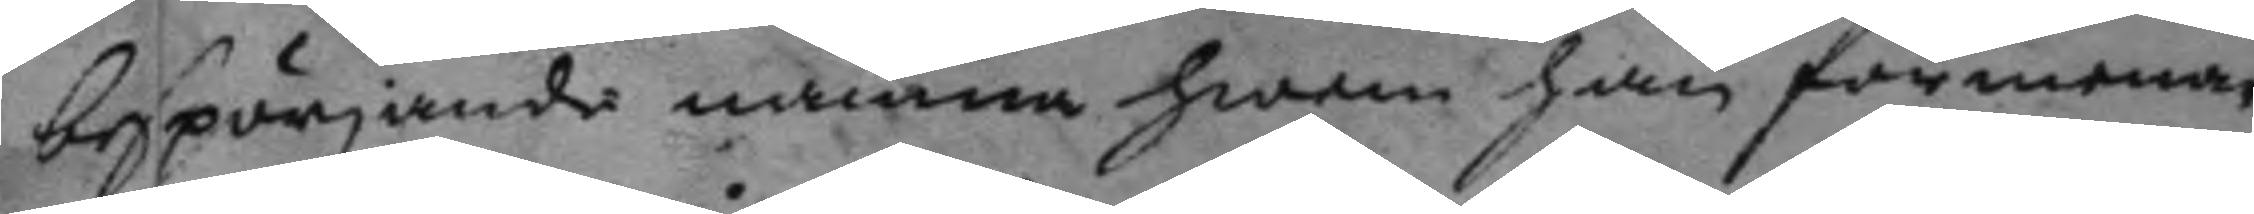bespörjande nämna hwem han förmenar
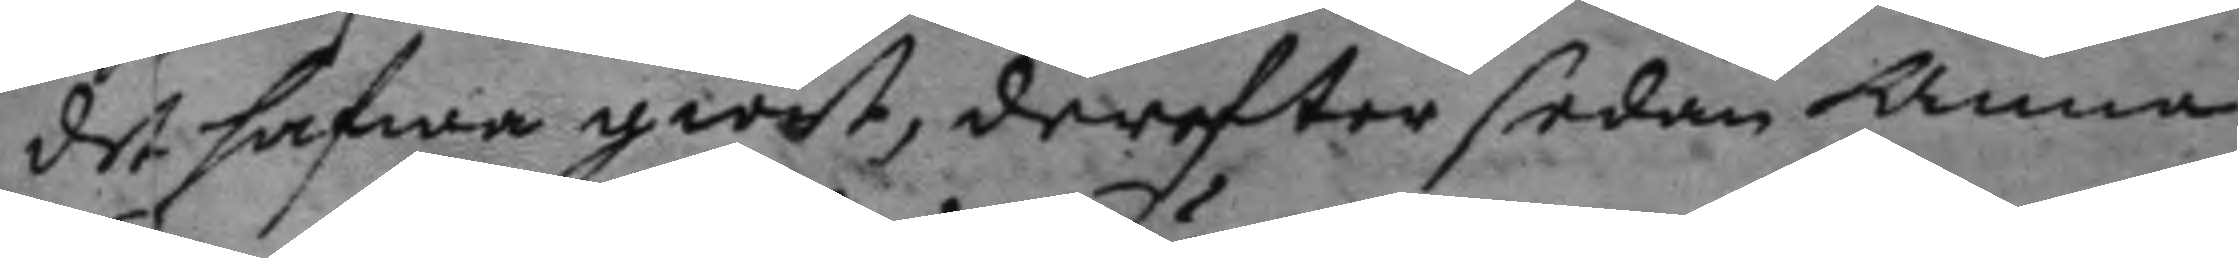det hafwa giort, derefter sedan Anna
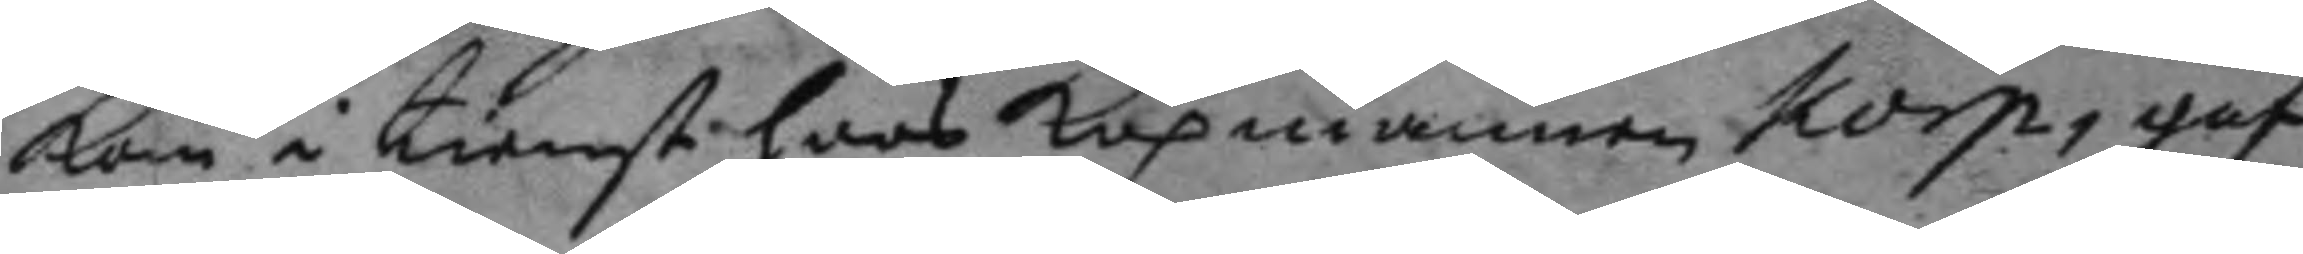kom i tienst hoos Köpmannen Korp, gaf
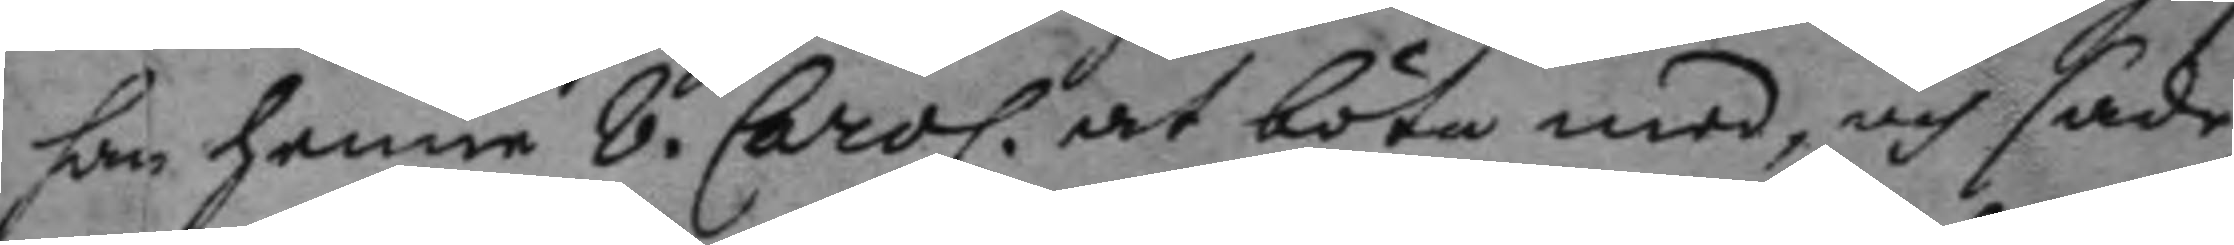han hennen 8. Carol. at böta med, och sade
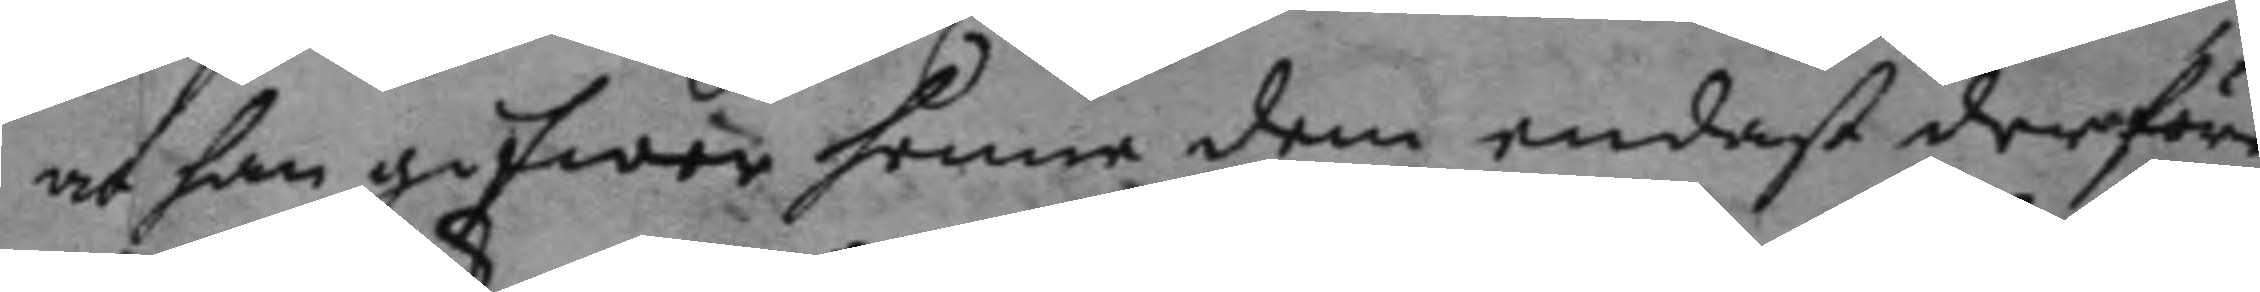at han gifwer henne dem endast derföre
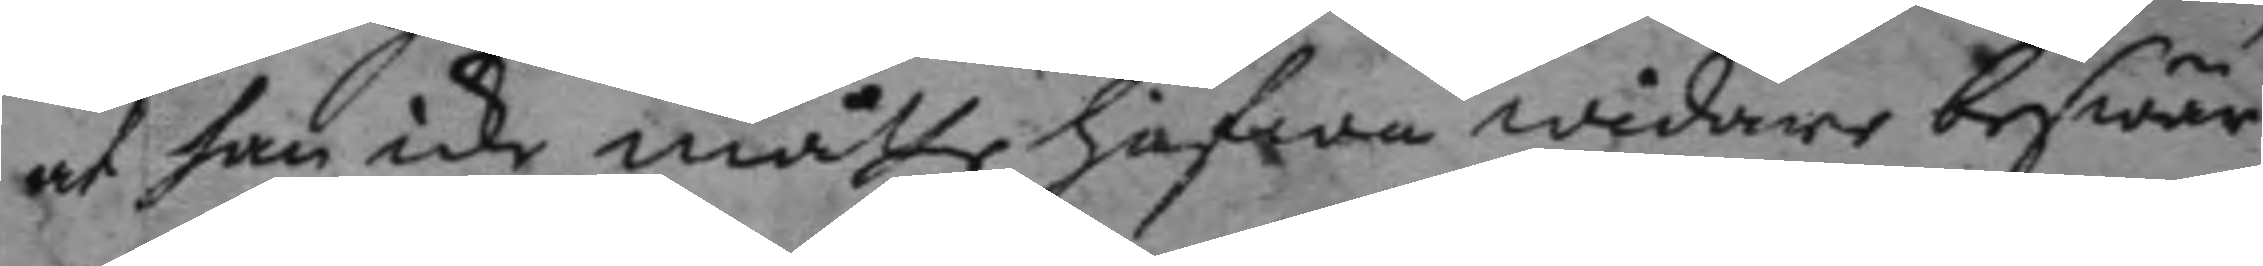at han icke måtte hafwa widare beswär
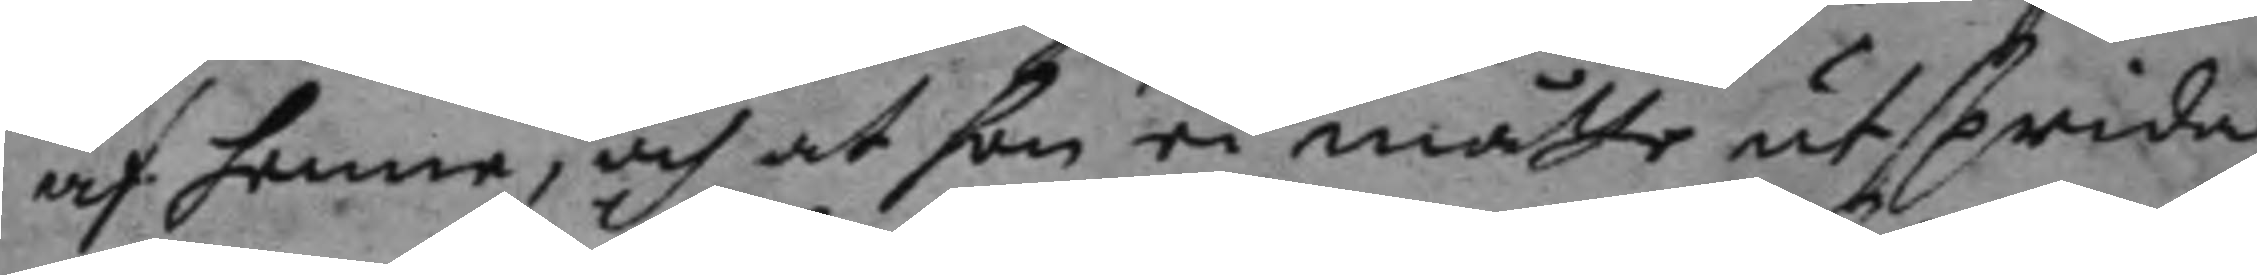af henne, och at hon ei måtte utsprida
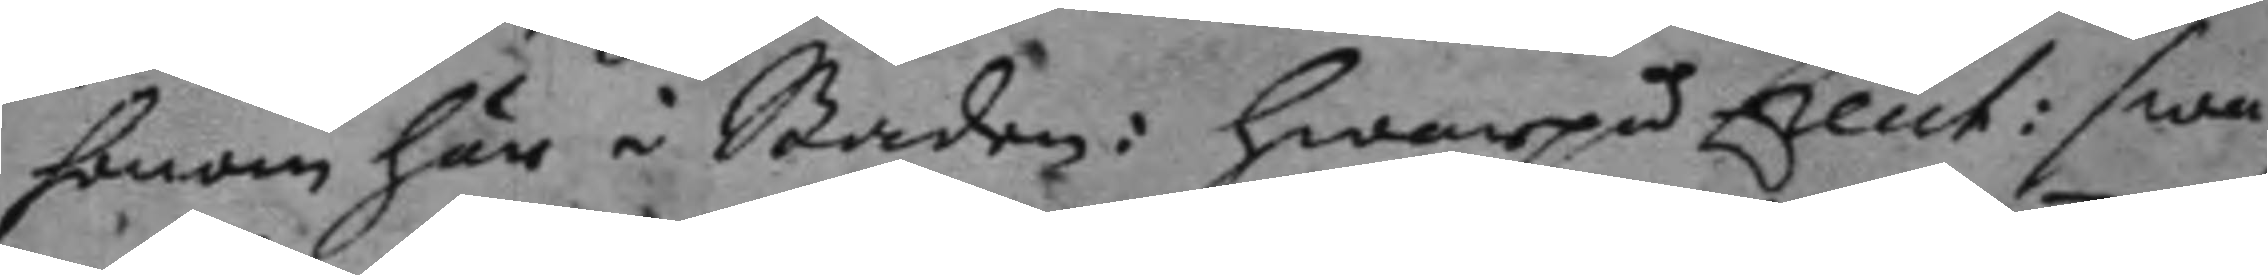honom här i Staden: hwarpå Lieut: swa¬ 
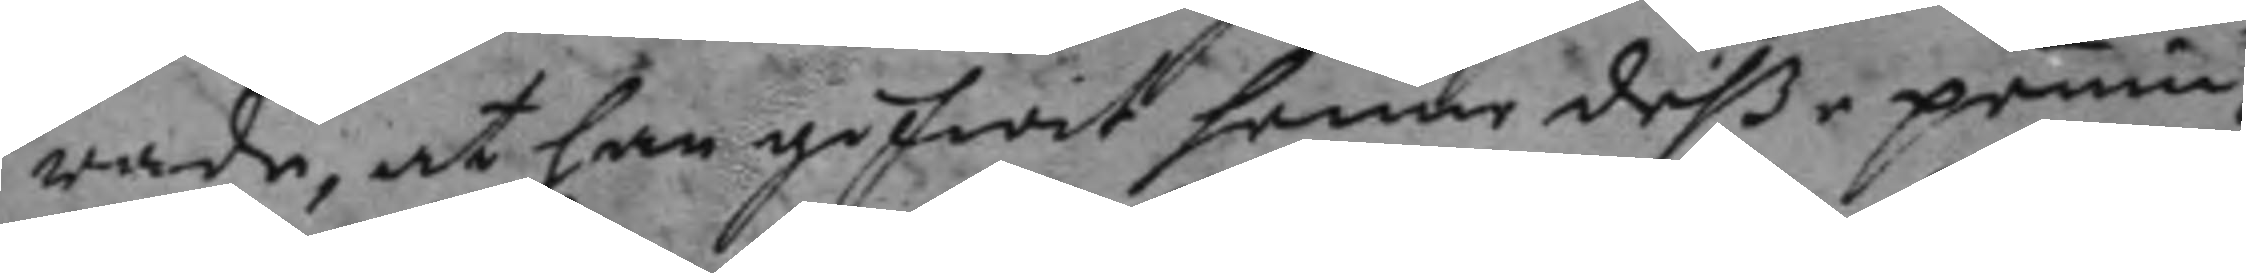rade, at han gifwit hennen deße penin¬
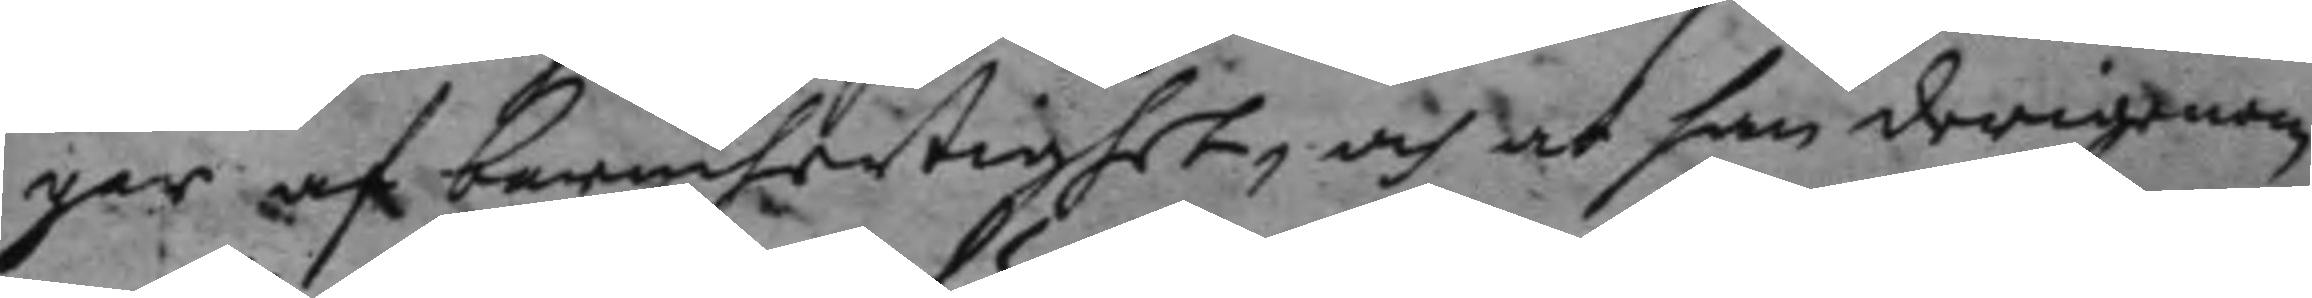ger af bermhertighet, och at han derigenom
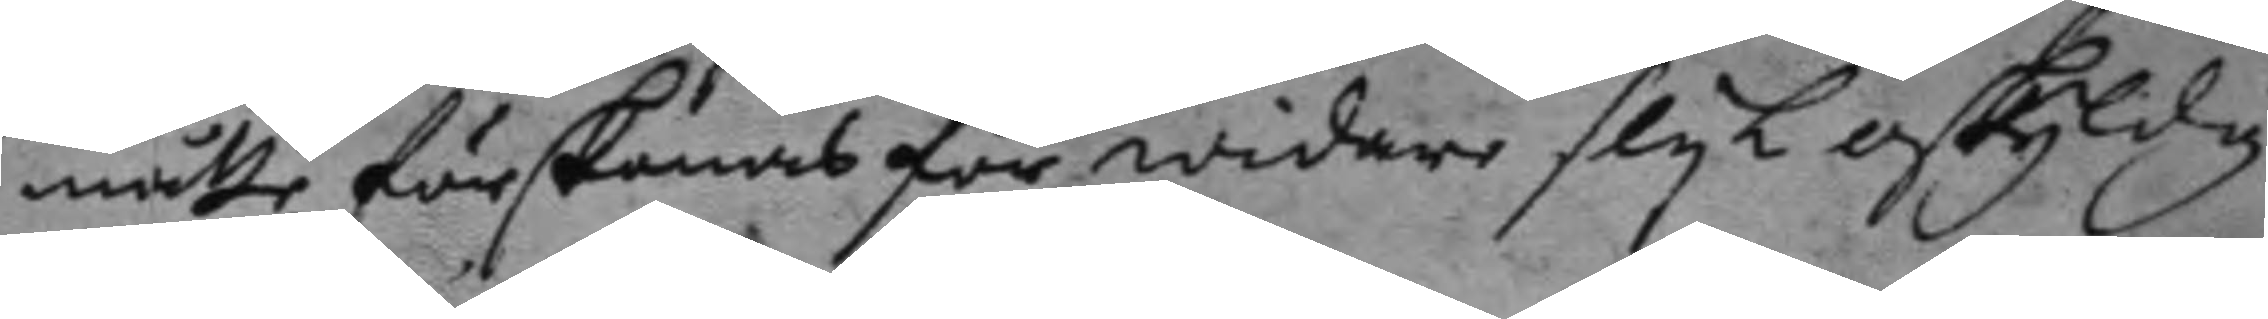måtte förskonas för widare slyk oskyldig
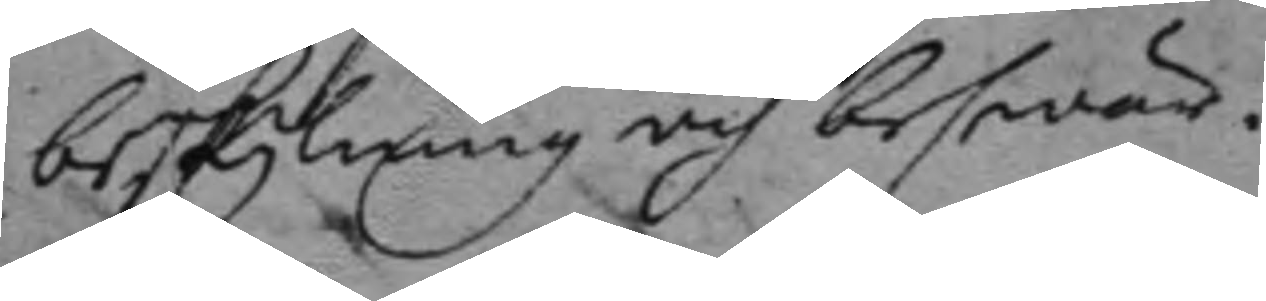beskylning och beswär.
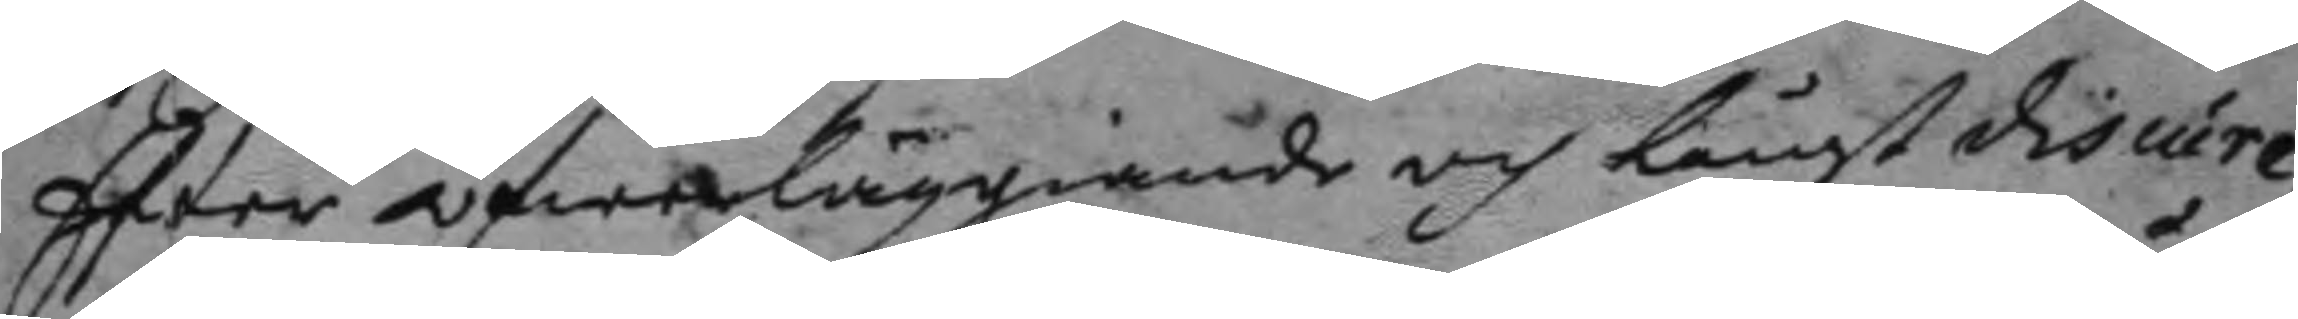Efter öfwerläggiande och långt discure¬
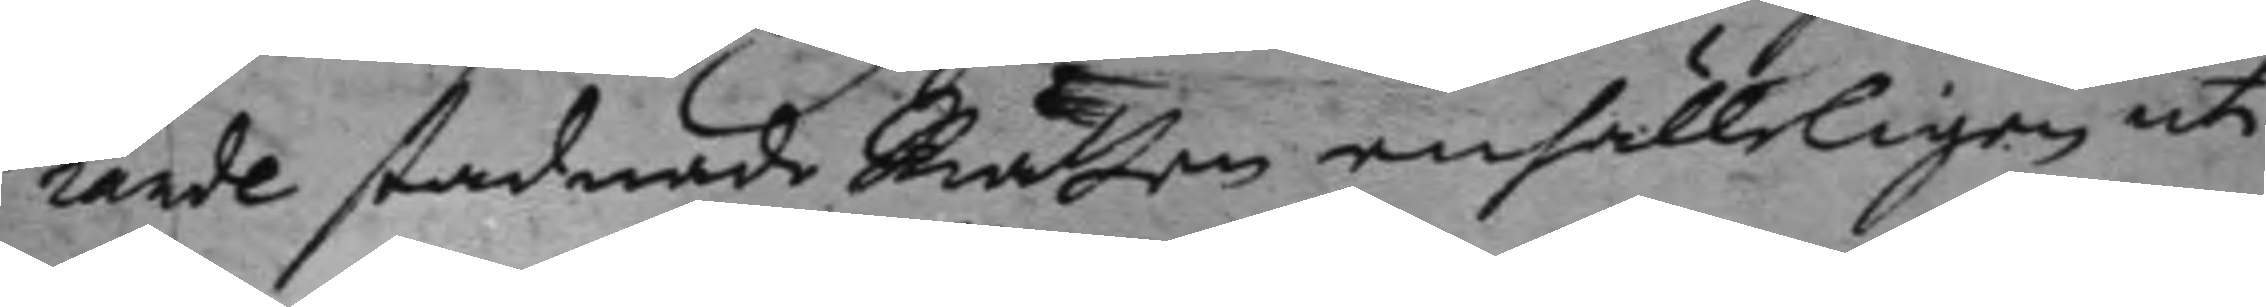rande stadnade Rätten enhälleligen uti
